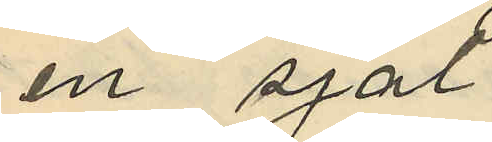en sjal
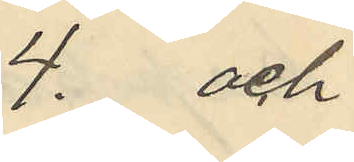4. och
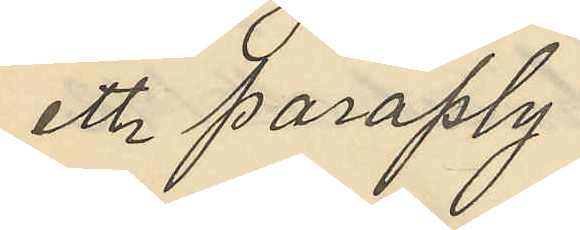ett paraply
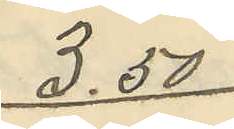3.50
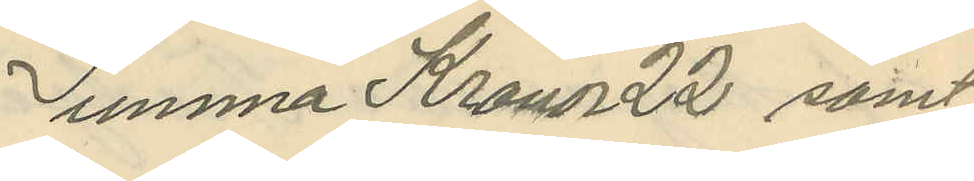Summa Kronor 22 samt
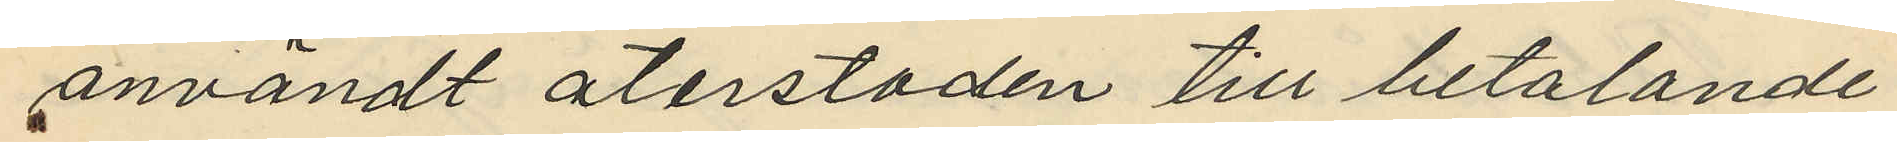användt återstoden till betalande
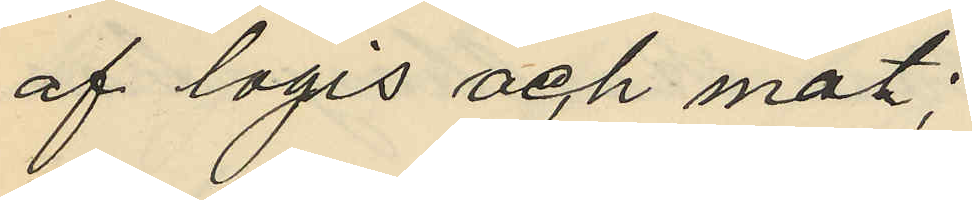af logis och mat;
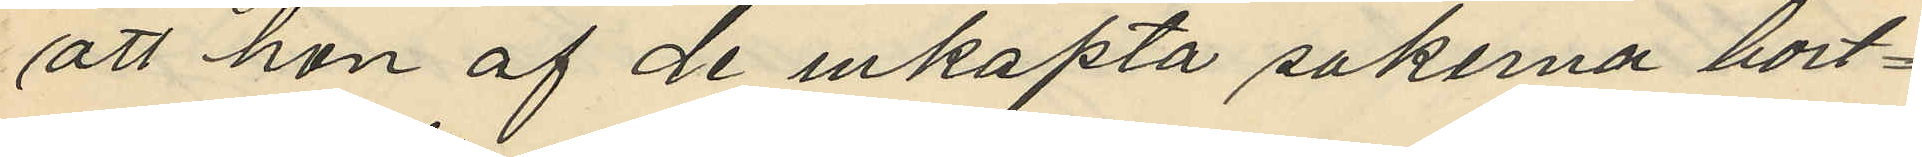att hon af de inköpta sakerna bort¬
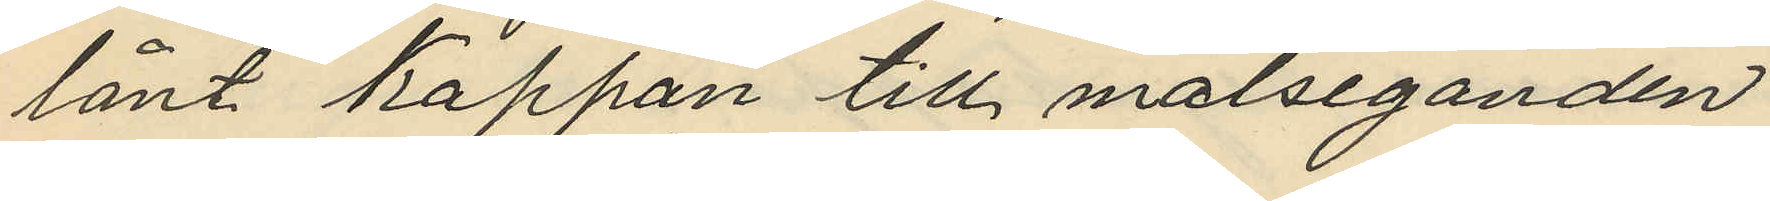lånt kappan till målseganden
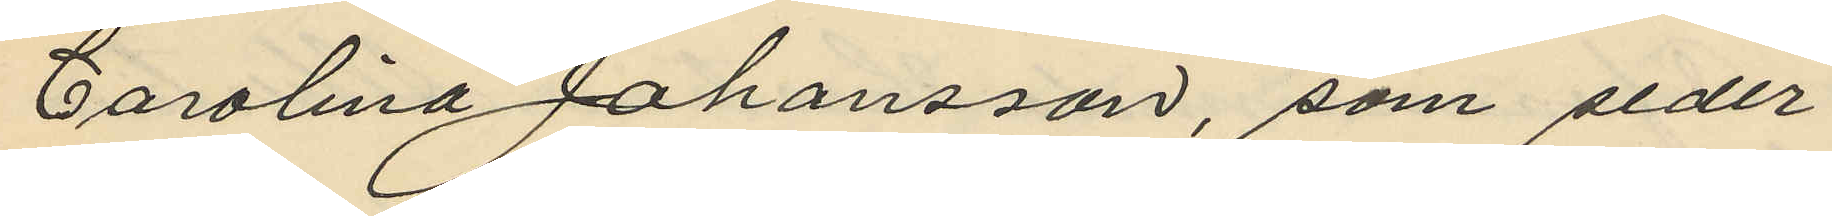Carolina Johansson, som seder¬
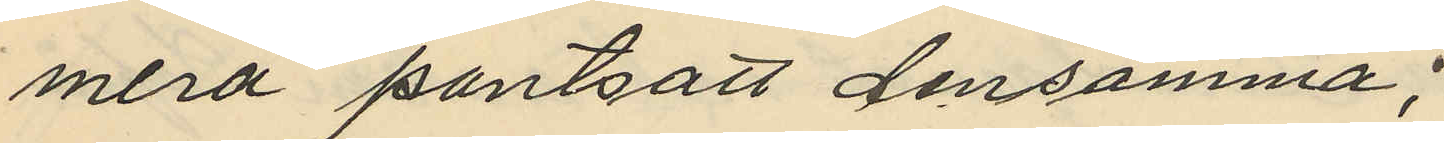mera pantsatt densamma;
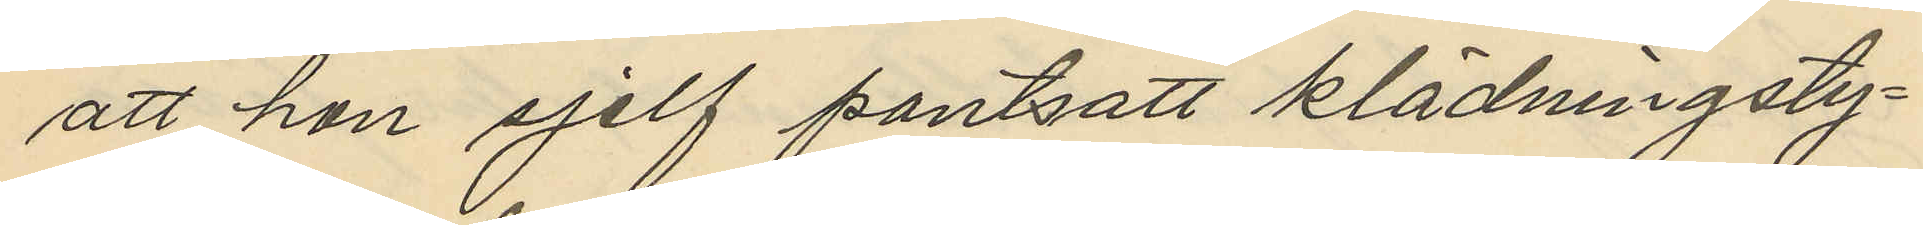att hon sjelf pantsatt klädningsty¬
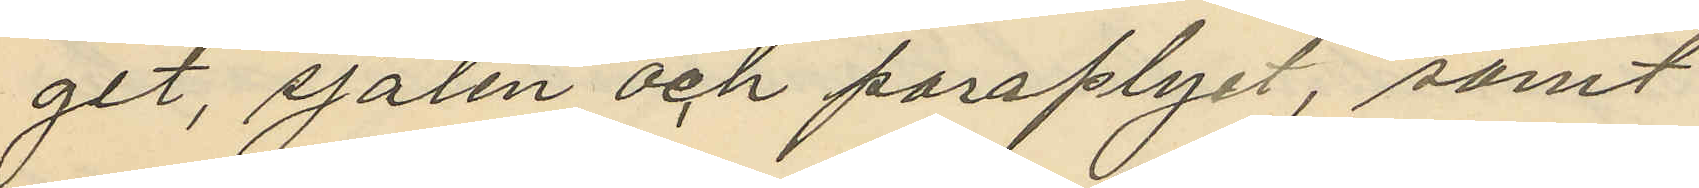git, sjalen och paraplyet, samt
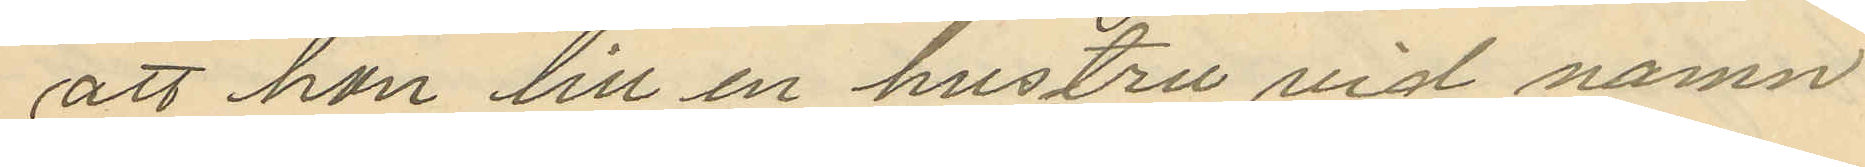att hon till en hustru vid namn
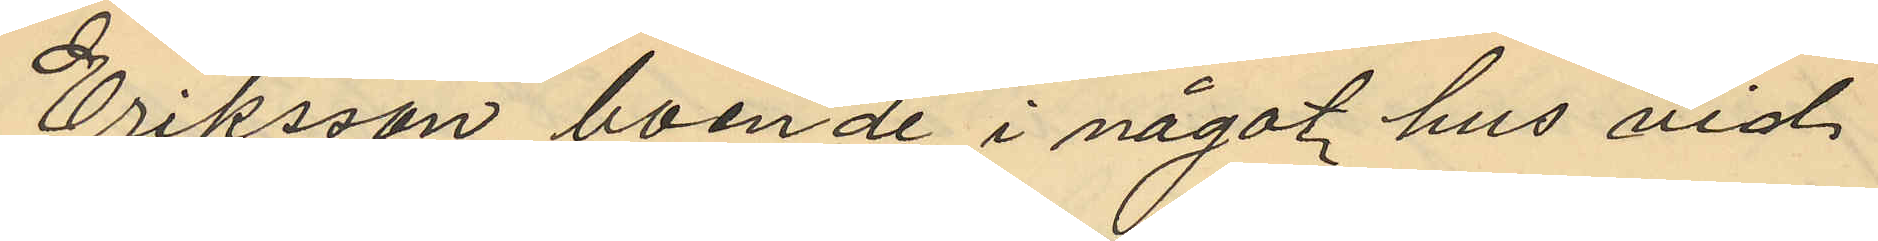Eriksson, boende i något hus vid
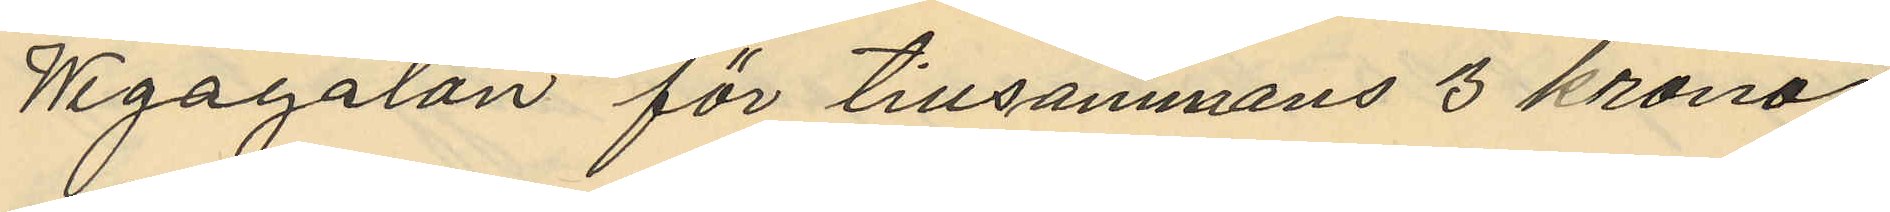Wegagatan för tillsammans 3 kronor
